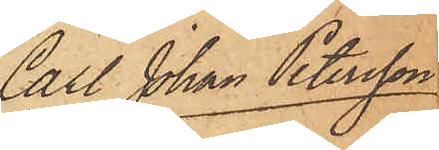Carl Johan Petersson
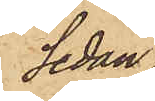Sedan
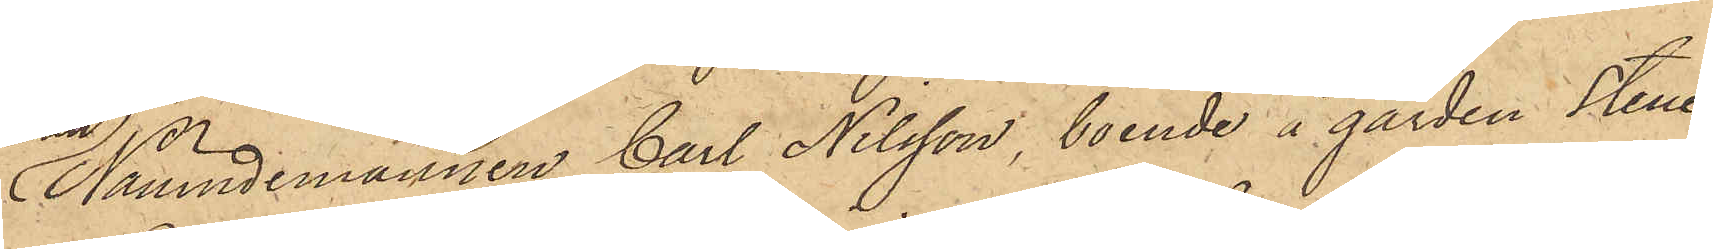Nämndemannen Carl Nilsson, boende å gården Stene¬
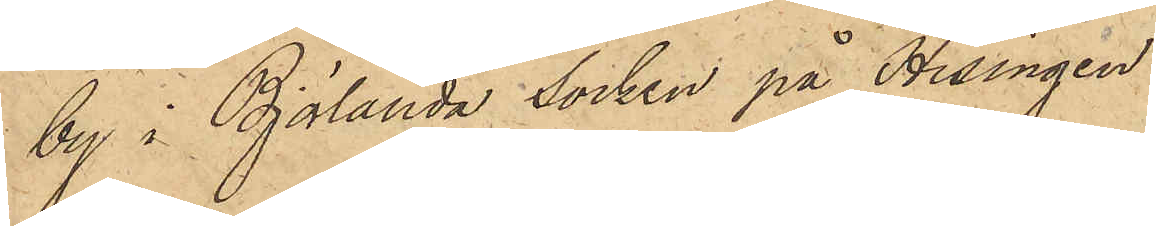by i Björlanda socken på Hisingen
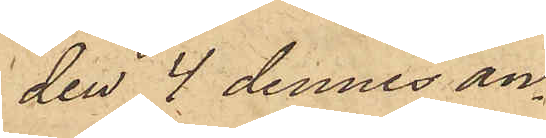den 4 dennes an¬
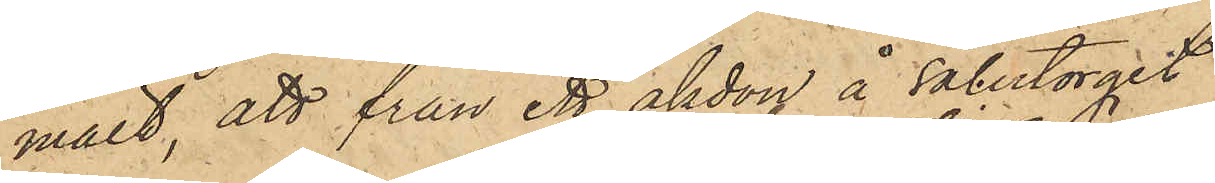mält, att från ett åkdon å salutorget
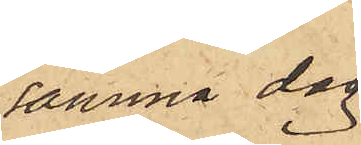samma dag
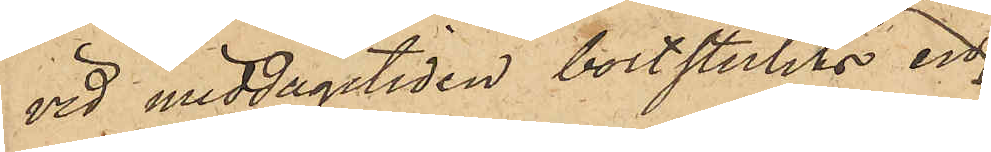vid middagstiden bortstulits en
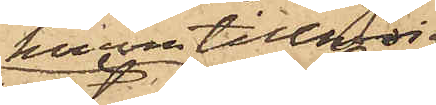honom tillhörig
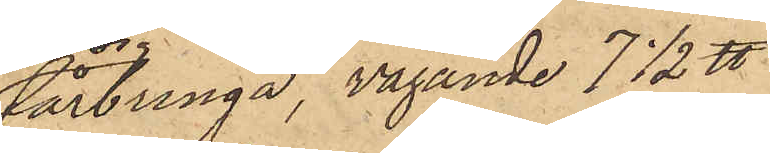fårbringa, vägande 7½ ℔
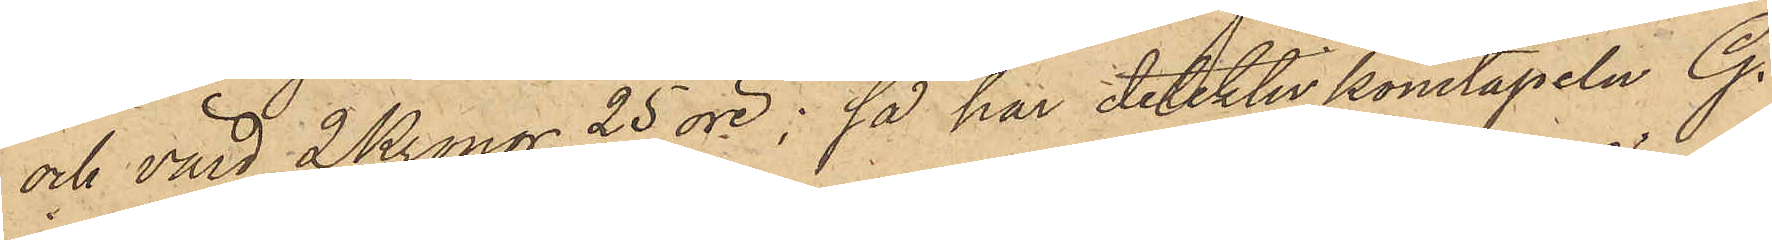och värd 2 Kronor 25 öre; så har detektivkonstapeln G.
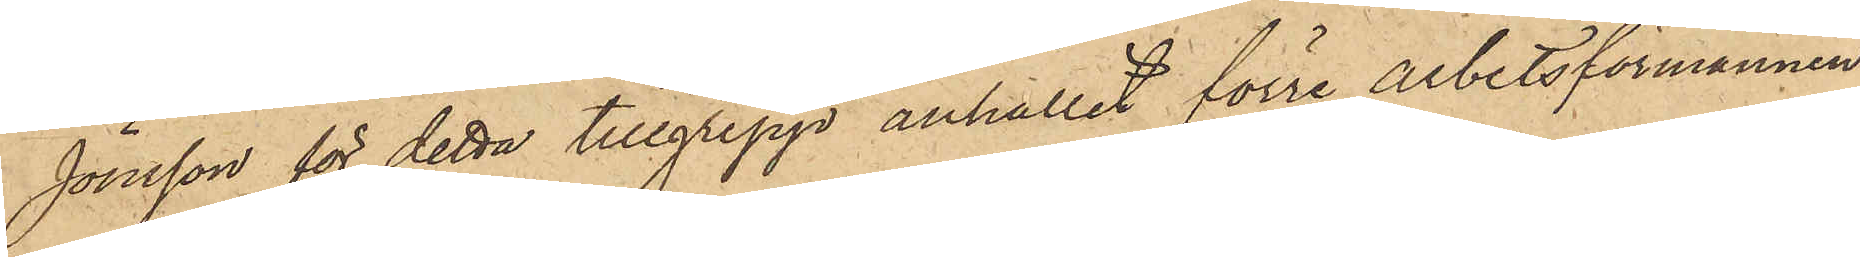Jönsson för detta tillgrepp anhållit förre Arbetsförmannen
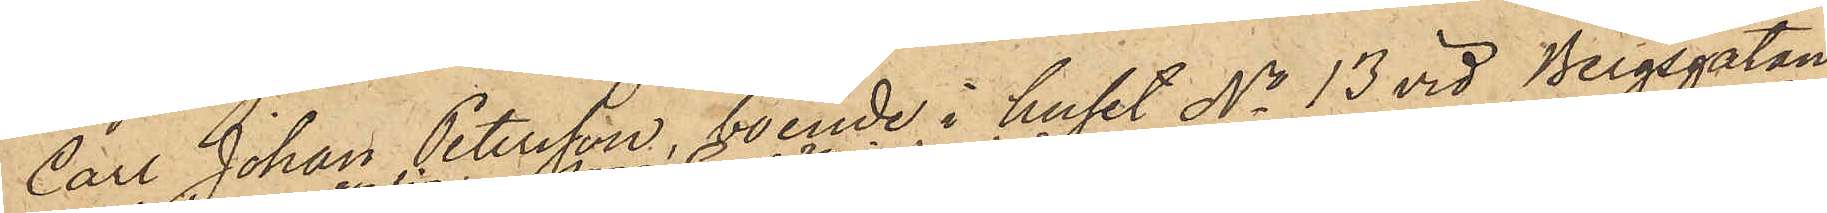Carl Johan Petersson, boende i huset No 13 vid Bergsgatan,
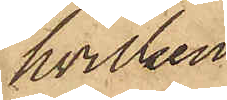hvilken
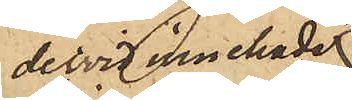dervid innehade
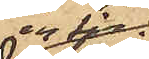en får¬
